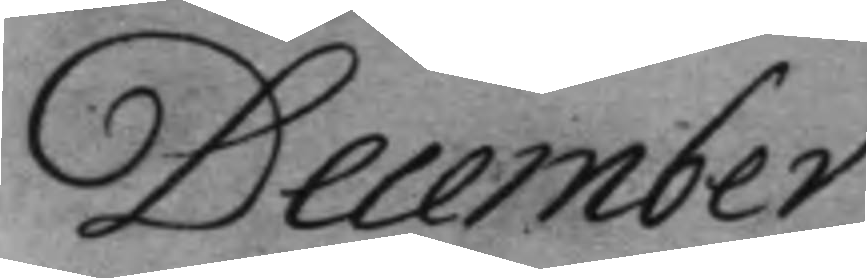December
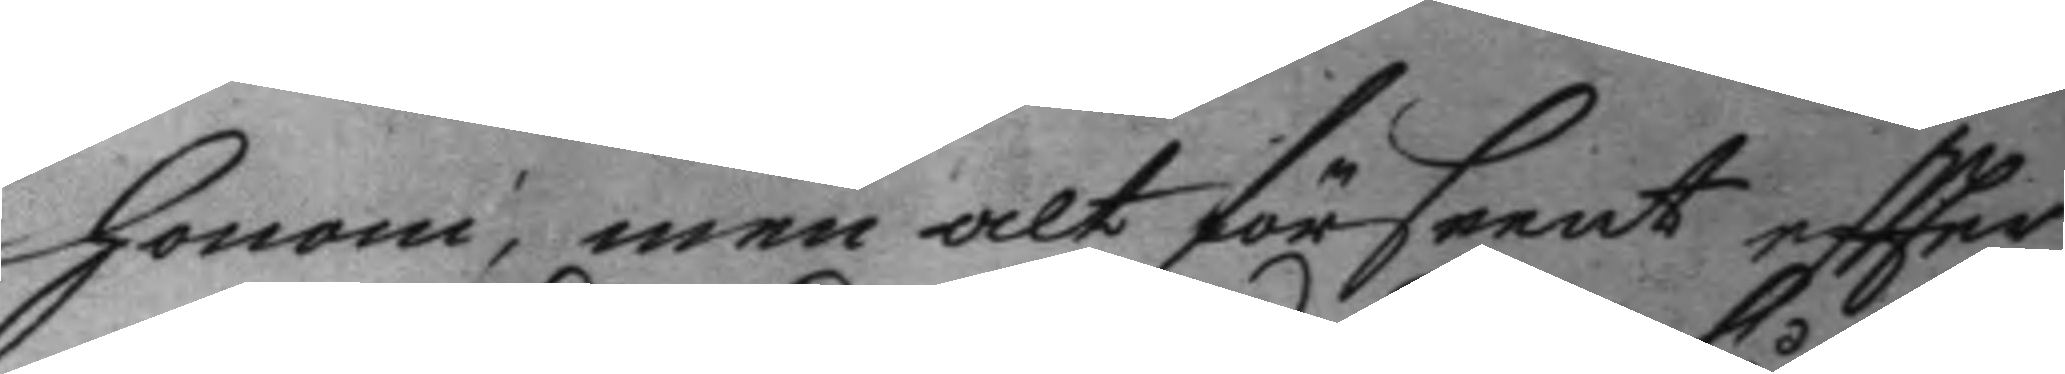honom, men alt förseent eftter
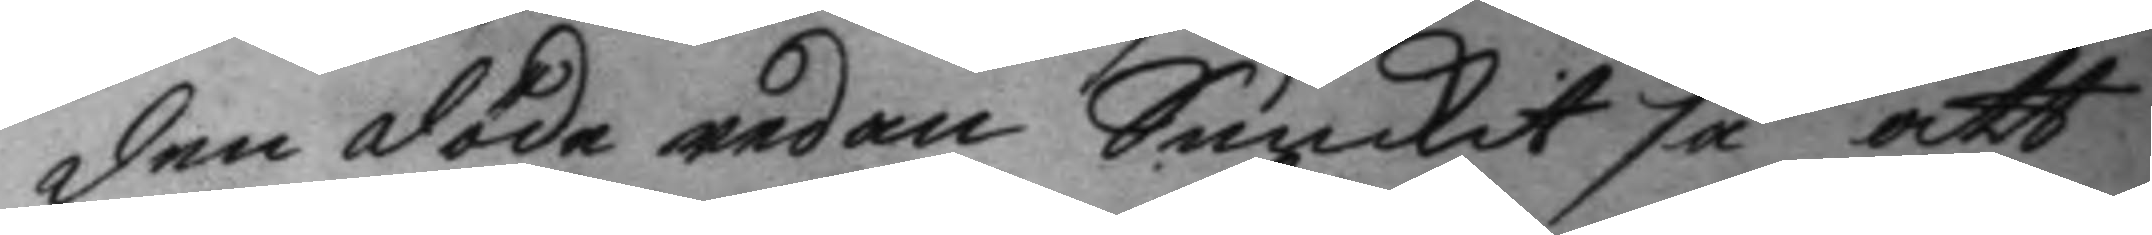den döde redan Sunkit så att
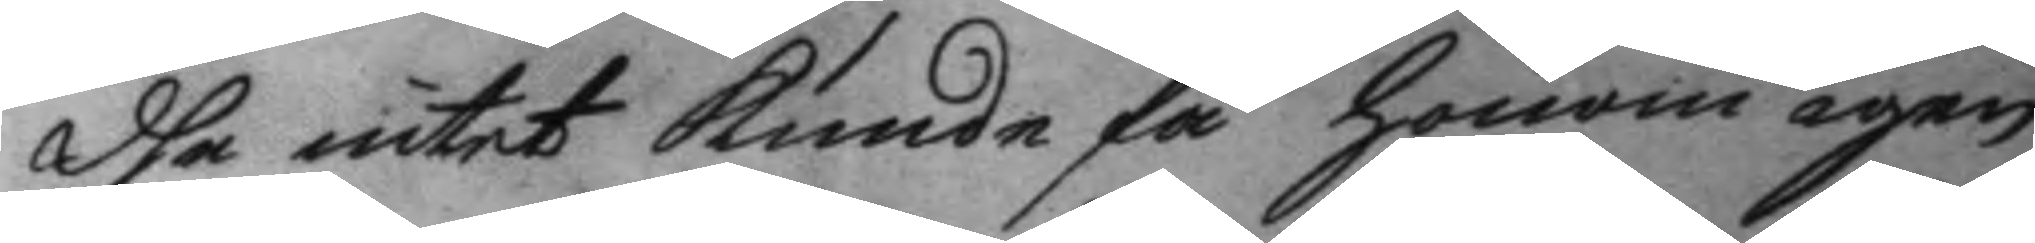dhe intet kunde få honom igen,
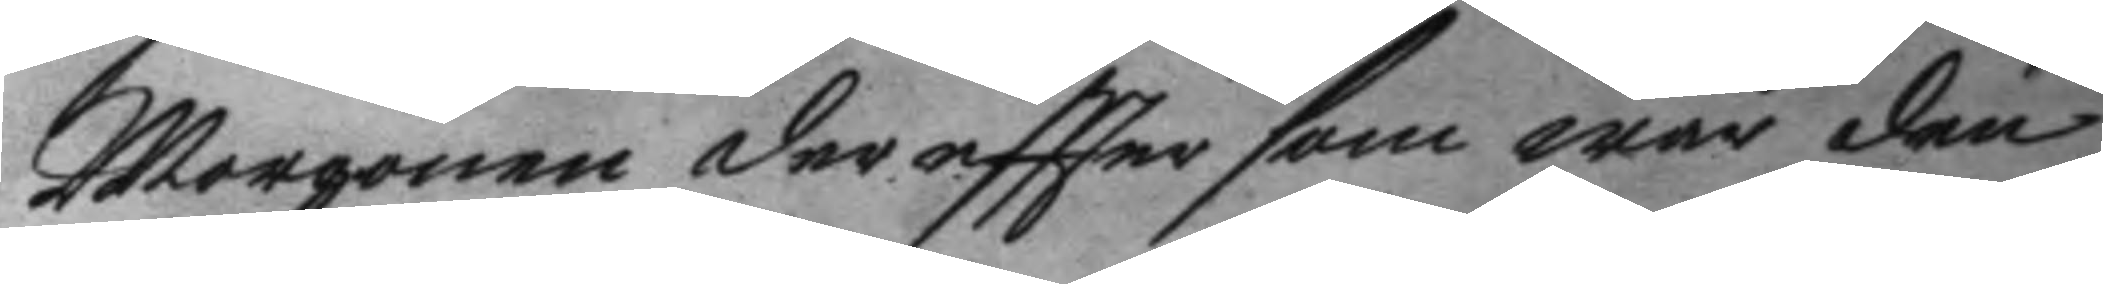Morgonen der eftter som war den
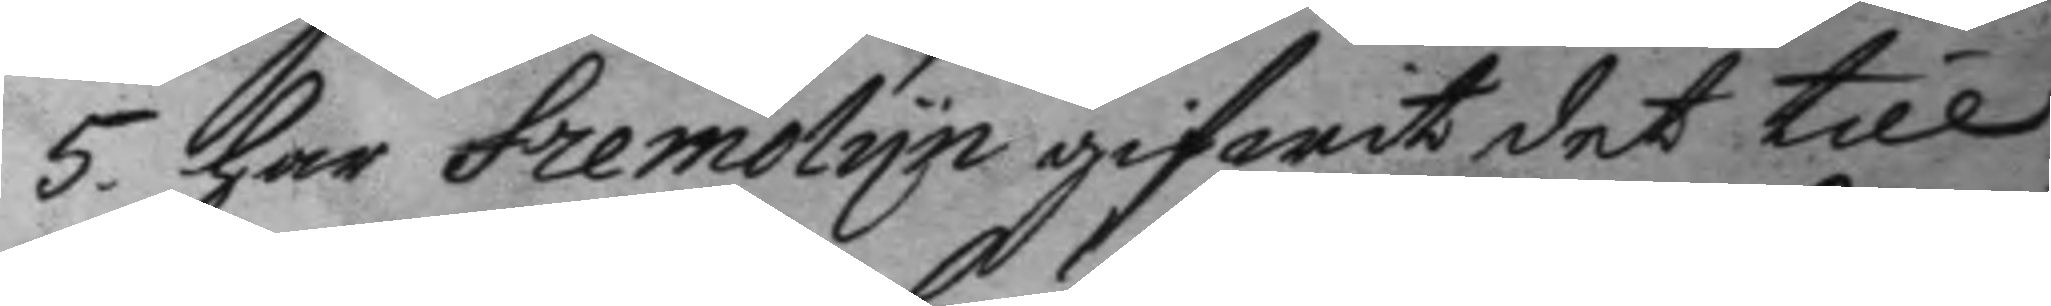5. har Fremolyn gifwit det till
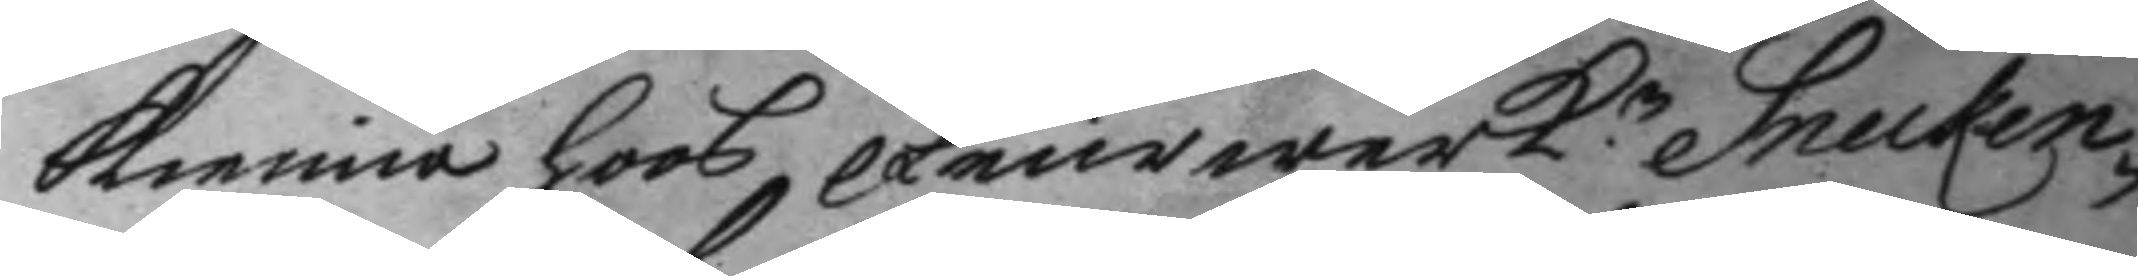kienna hoos Feurwerk.n Snecken¬
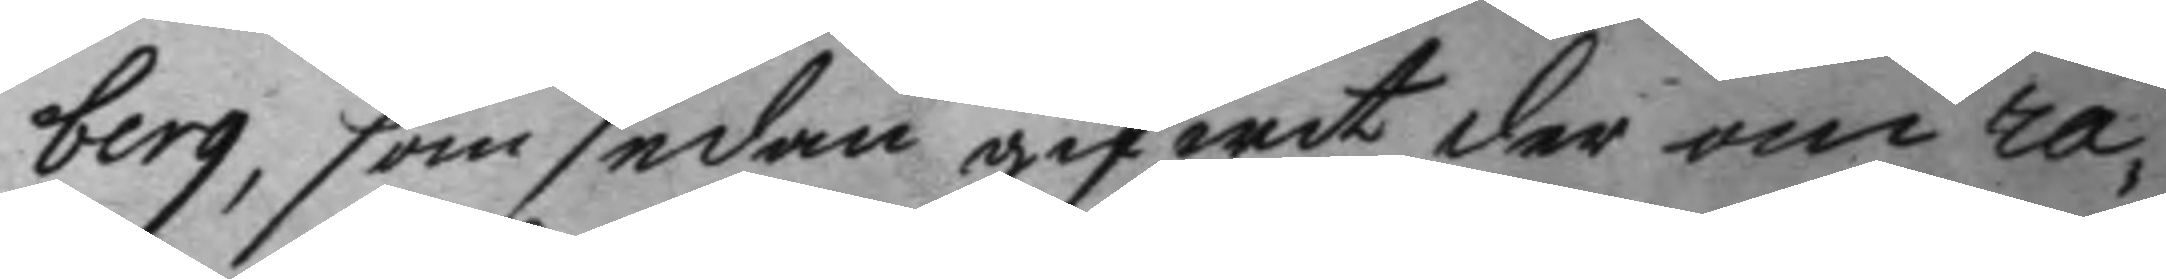berg, som sedan gifwit der om ra¬
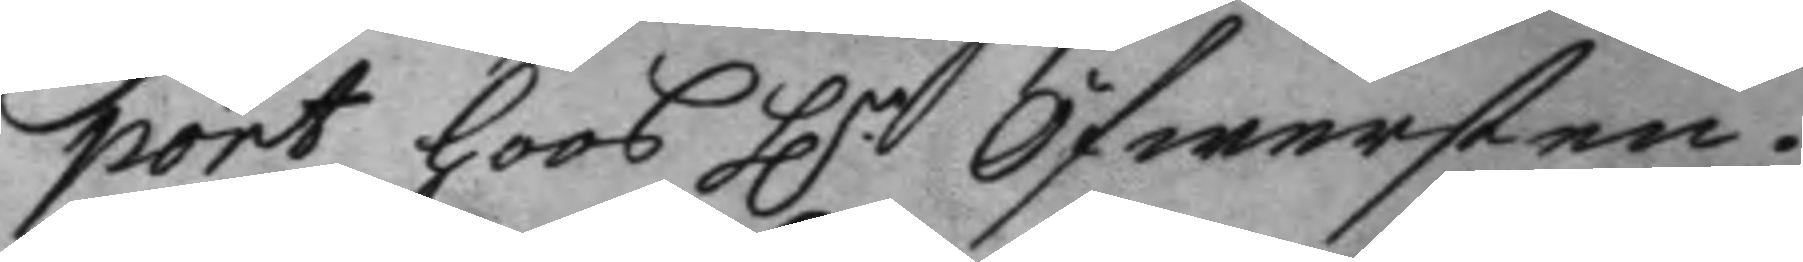port hoos H.r öfwersten.
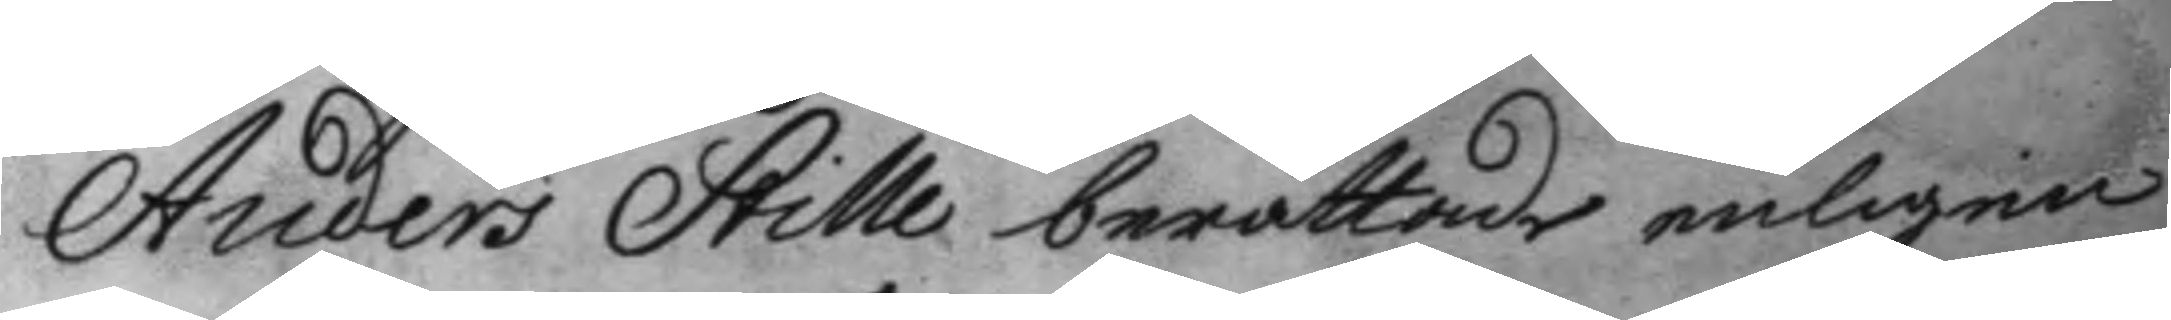Anders Stille berättade enligen
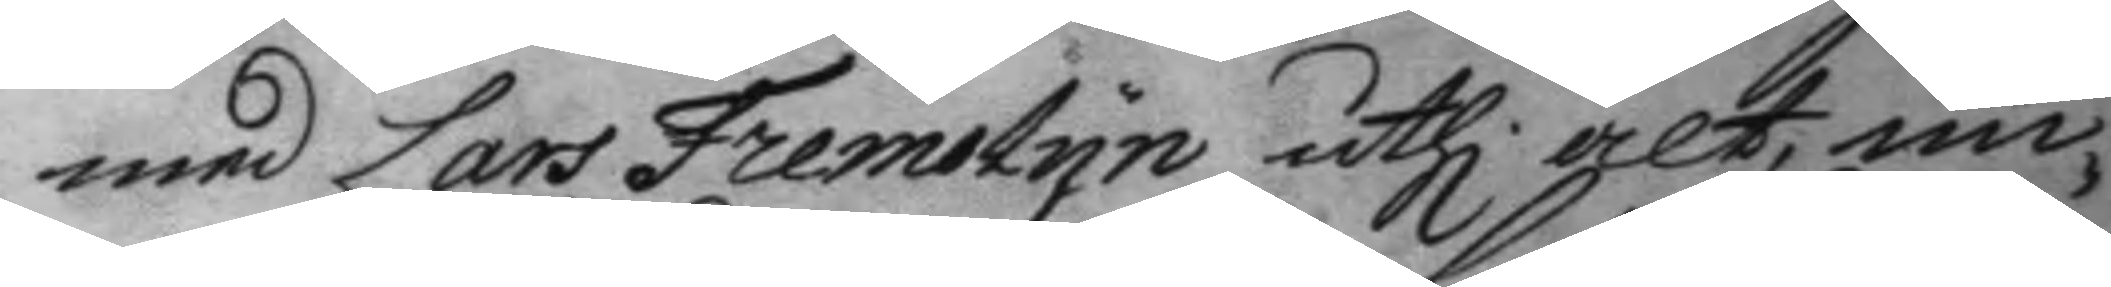med Lars Fremolyn uthi alt un¬
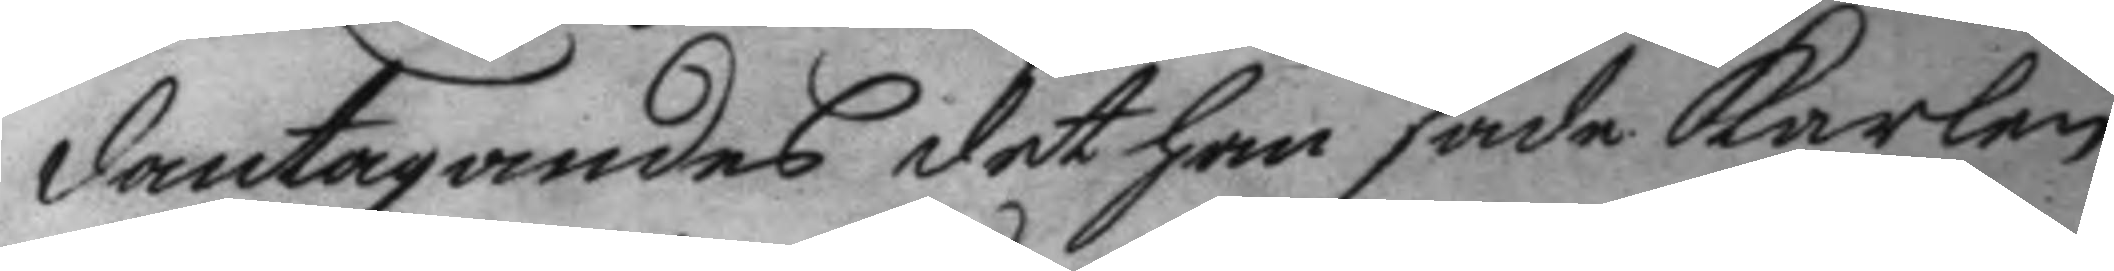dantagandes det han sade karlen
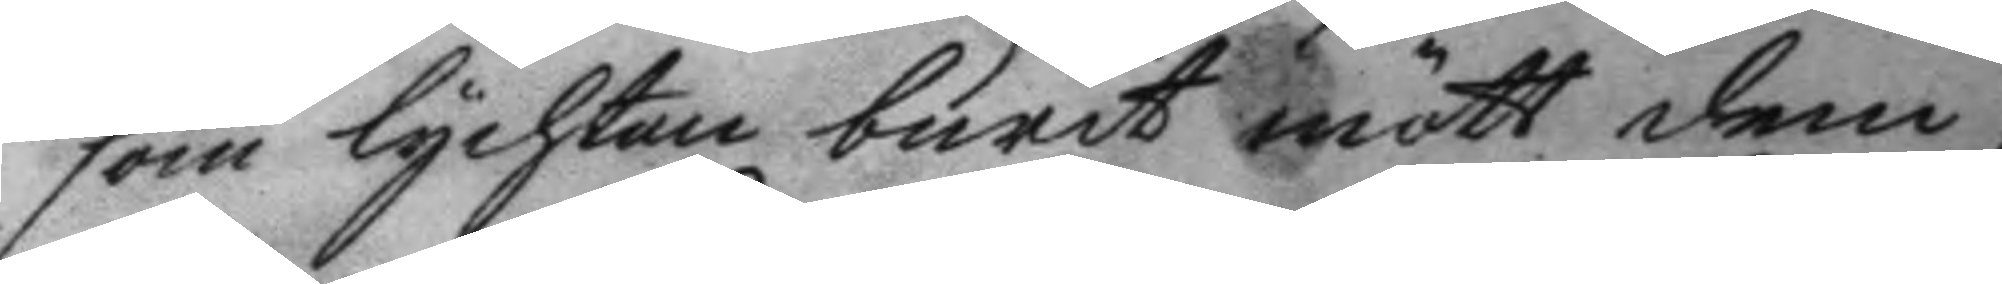som lychtan burit mött dem,
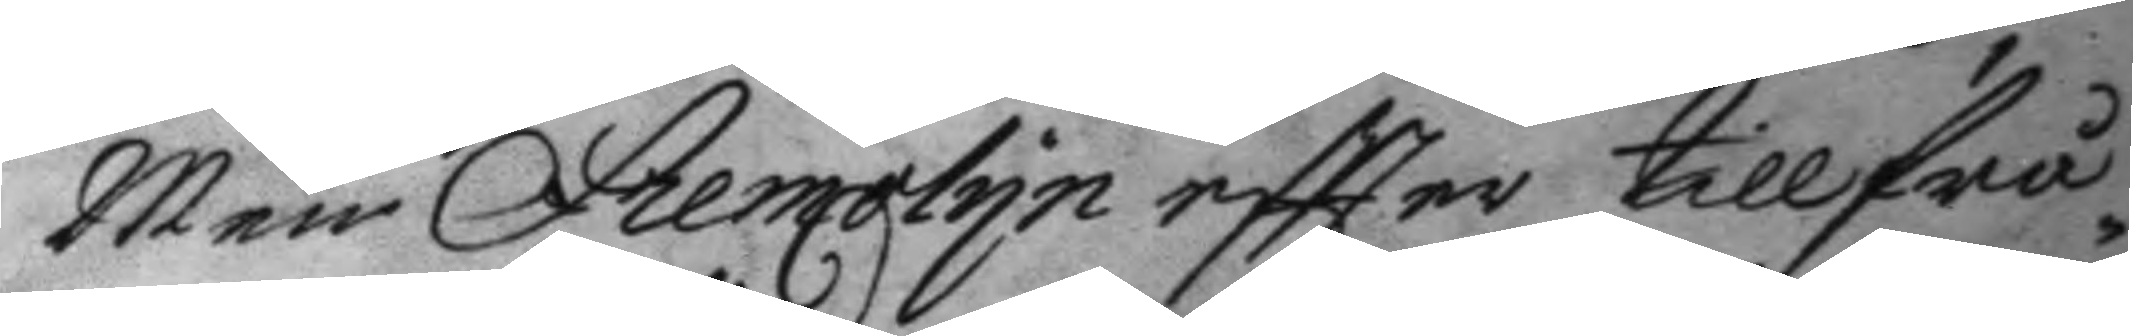Men Fremolyn eftter tillfrå¬
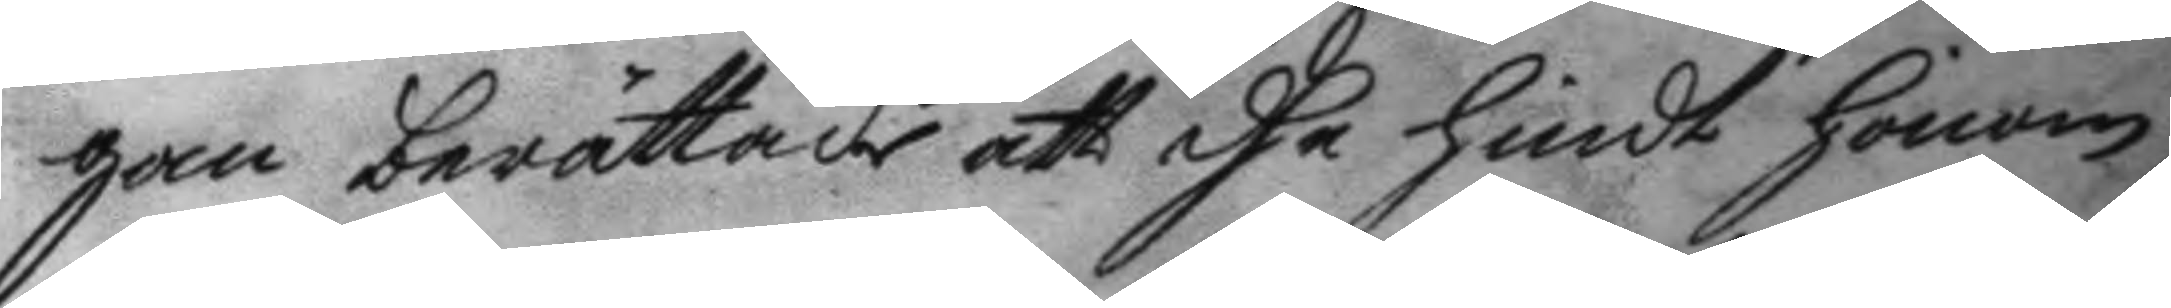gan berättade att dhe hindt honom
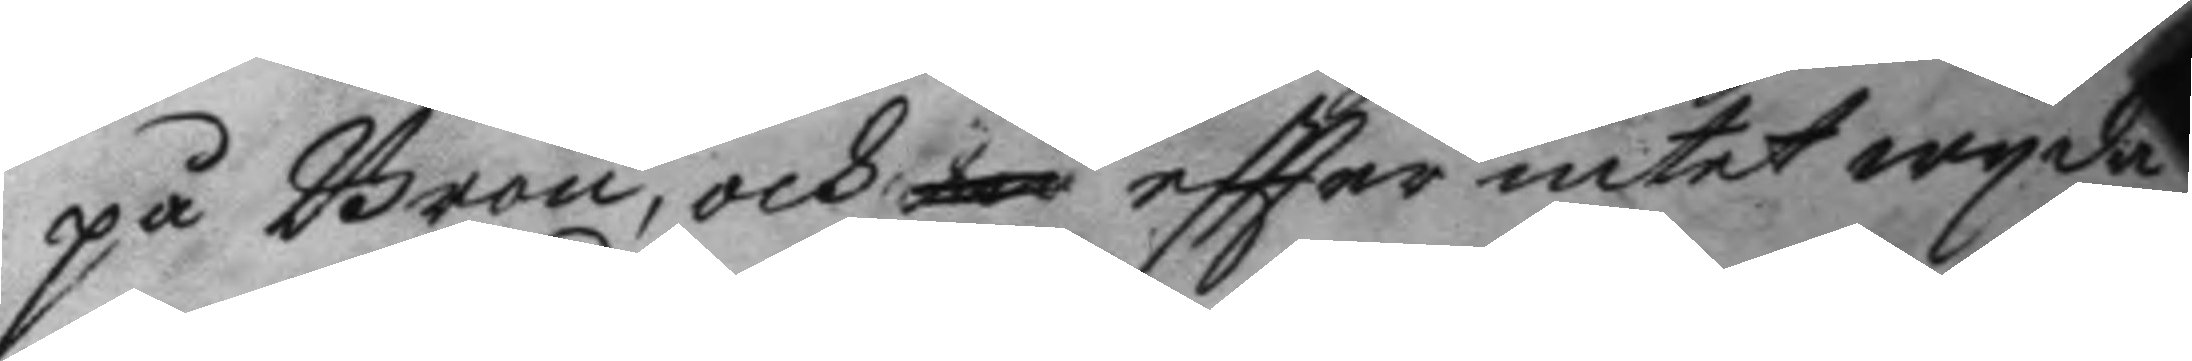på Broen, och eftter intet wyda¬
